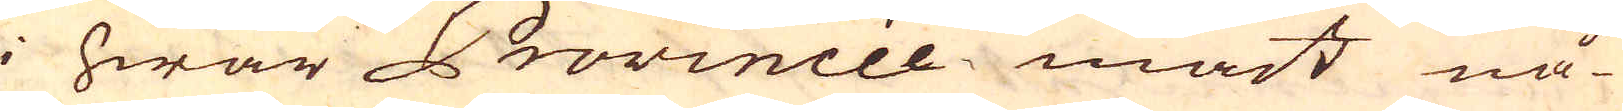i hwar Provincie måst nå-
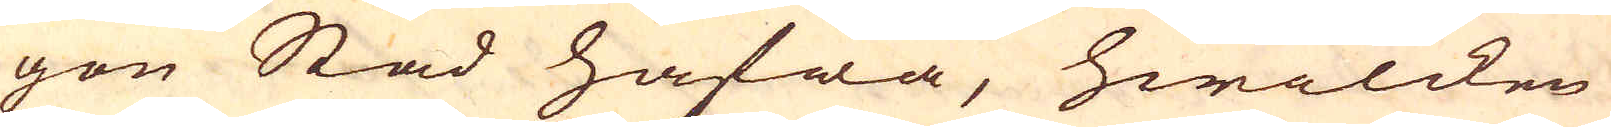gon Stad hafwa, hwilcken
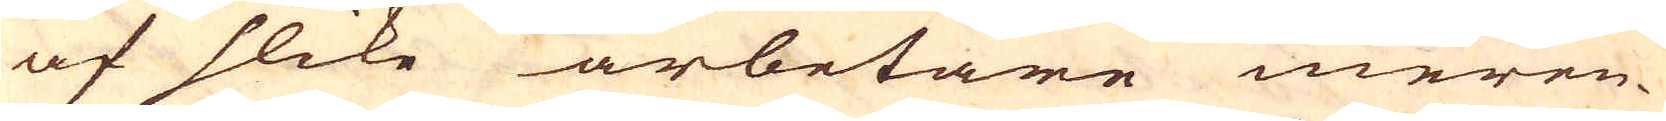af slike arbetare meren-
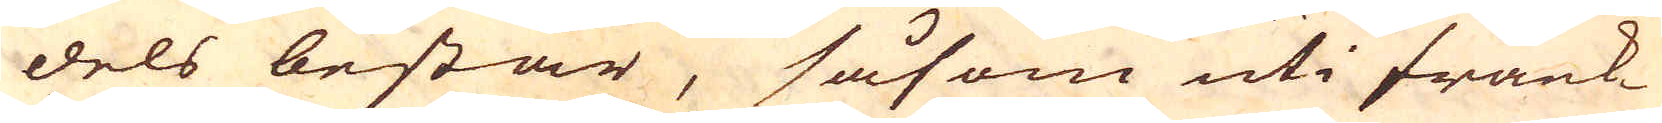dels består, såsom uti Frank
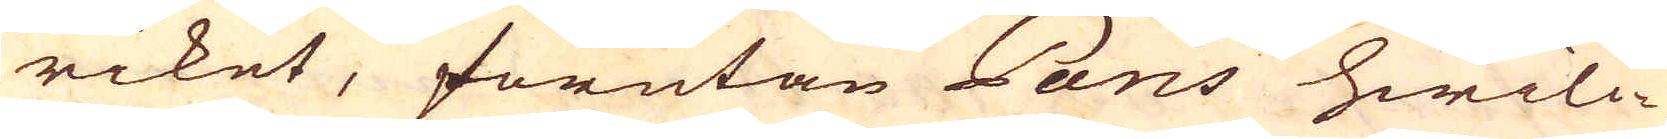riket, förutan Paris hwilc-
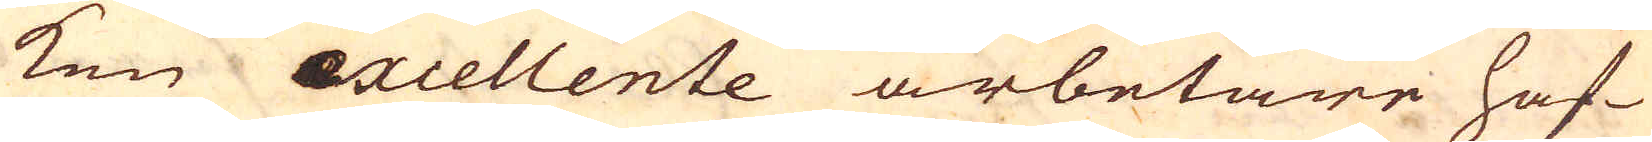ken excellente arbetare haf-
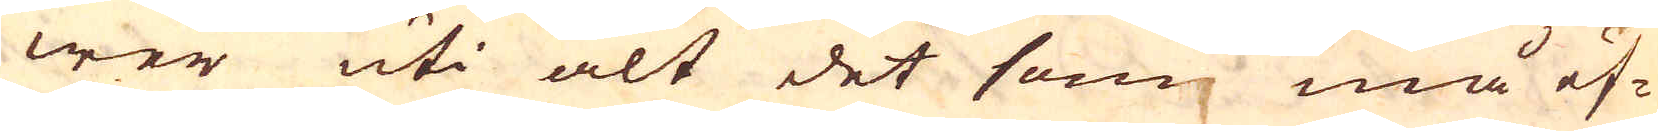wer uti alt det som må ef-
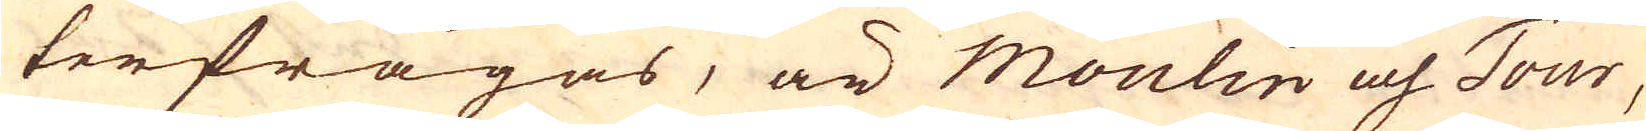terfrågas, är Moulin och Tour,
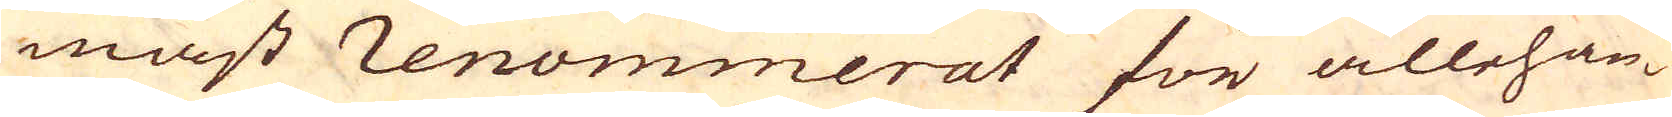mäst renommerat för allehan-
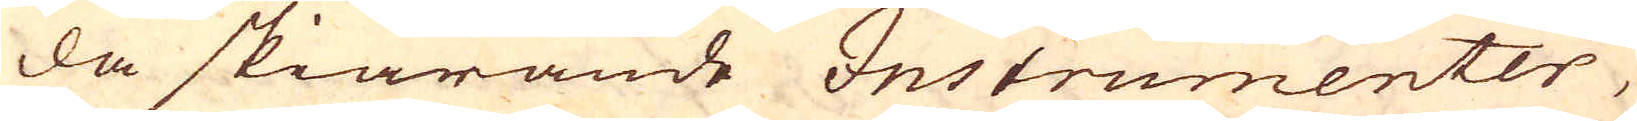da skiärande Instrumenter,
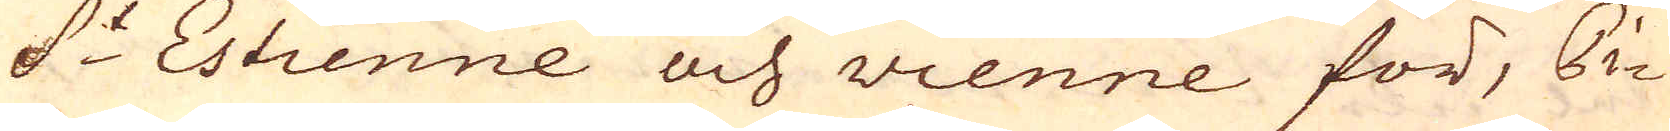S:t Estienne och Vienne för, Pi-
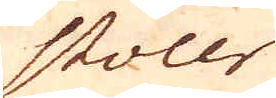stoler
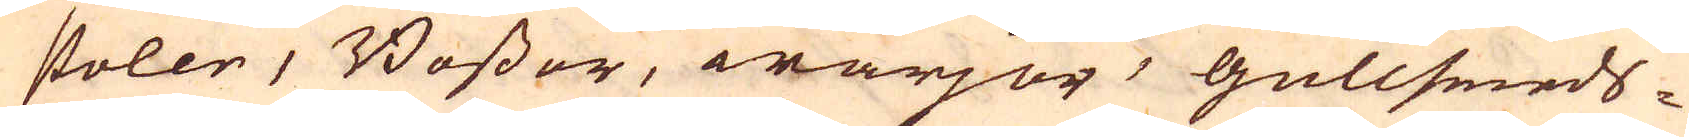stoler, Bössor, wärjor, gullsmeds-
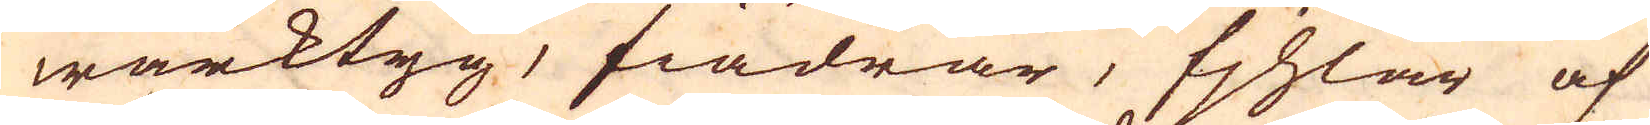wärktyg, fiädrar, fjhlar af
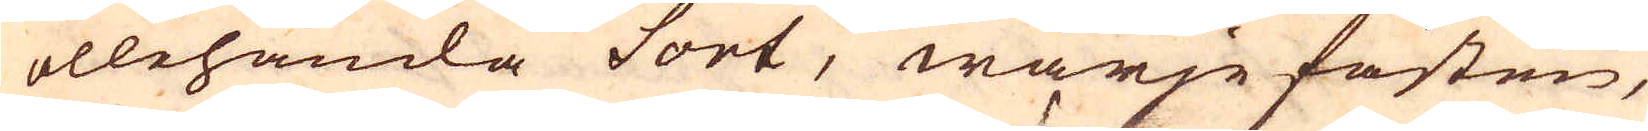allehanda sort, wärjefästen,
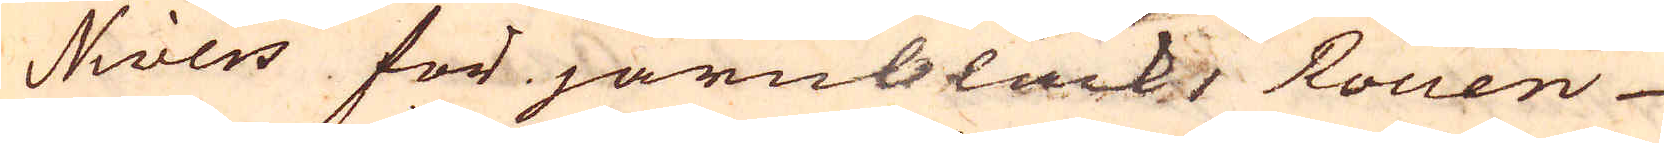Nivers för järnbläck, Rouen
